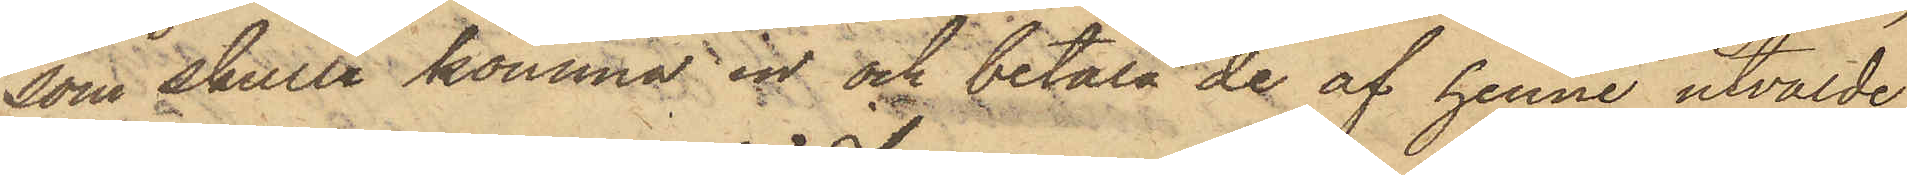som skulle komma in och betala de af henne utvalde
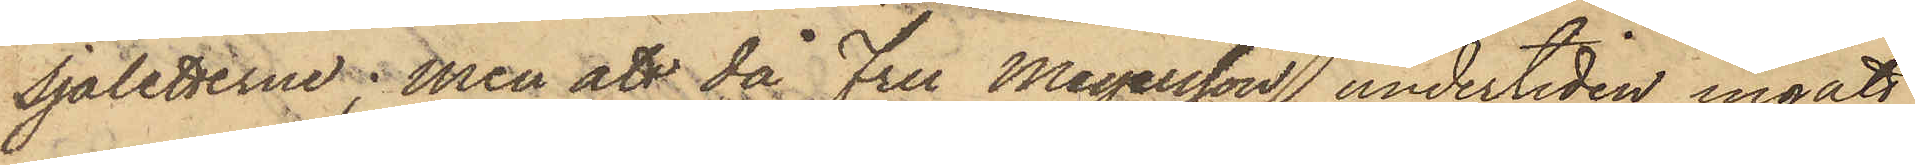Sjaletterne; men att då Fru Meyersson undertiden ingått
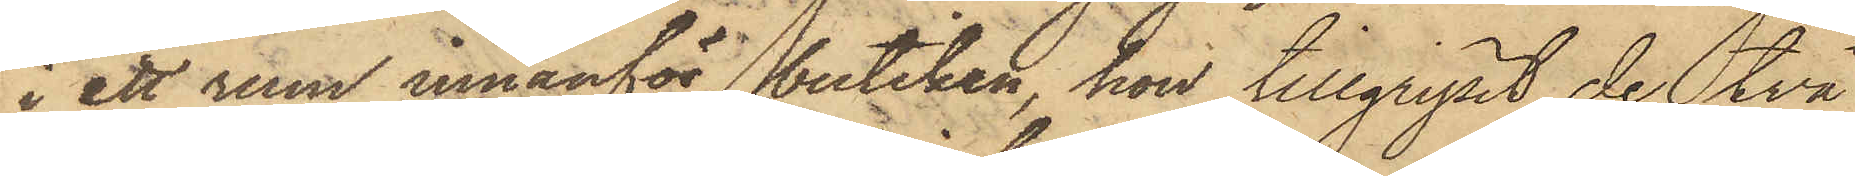i ett rum innanför butiken, hon tillgripit de två
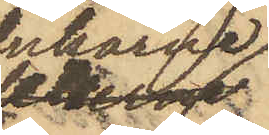dukarne
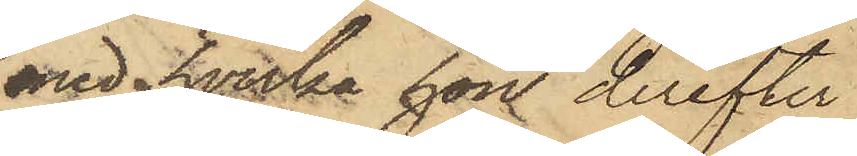med hvilka hon derefter
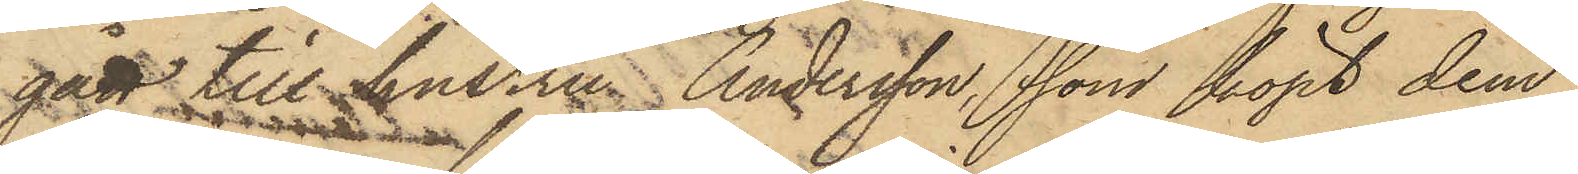gått till hustru Andersson, som köpt dem
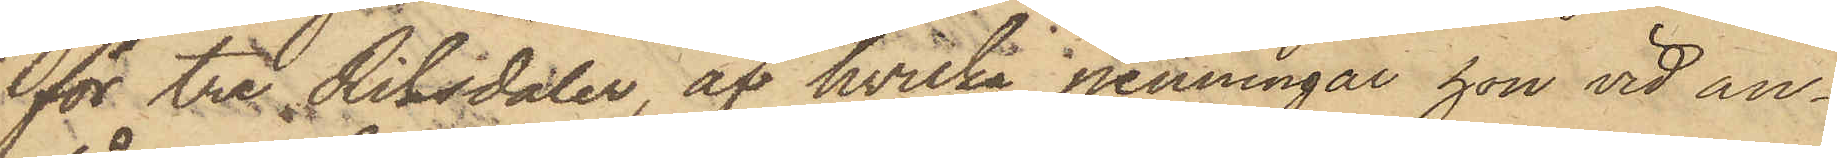för tre Riksdaler, af hvilka penningar hon vid an¬
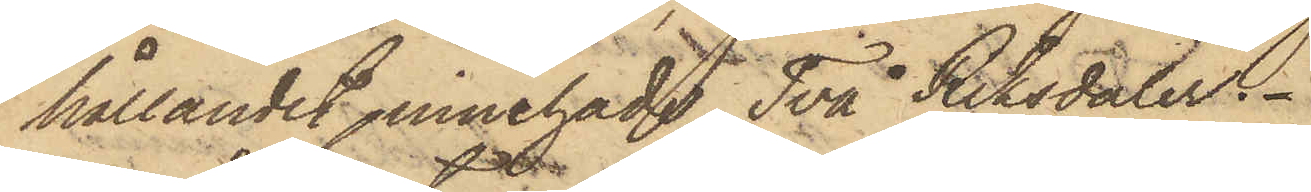hållandet innehade Två Riksdaler.
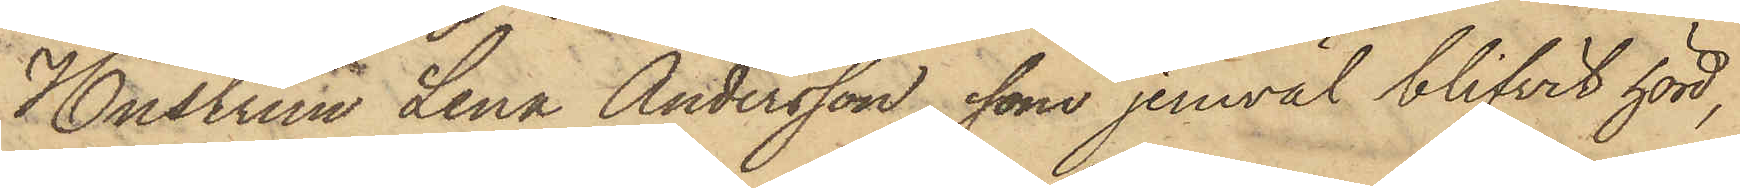Hustrun Lena Andersson, som jemväl blifvit hörd,
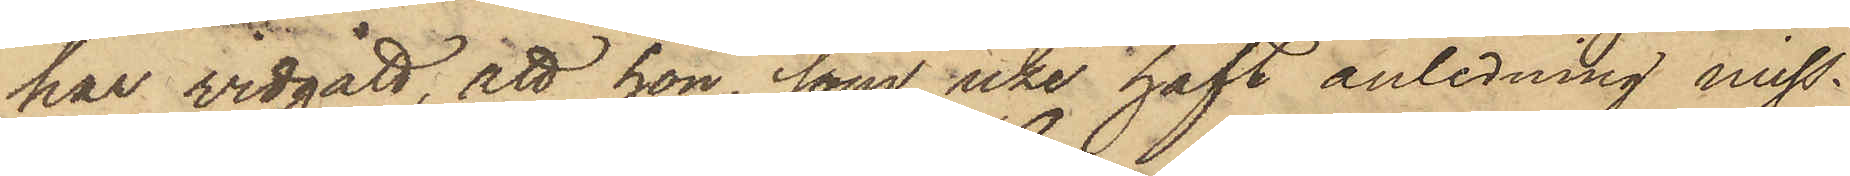har vidgått att hon, som icke haft anledning miss¬
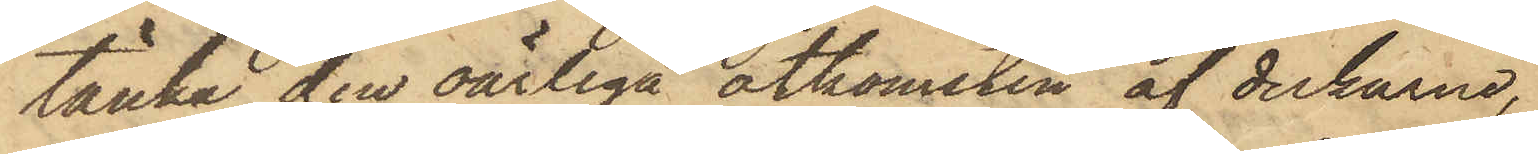tänka den oärliga åtkomsten af dukarne,
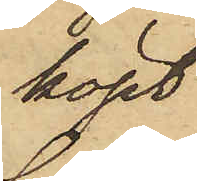köpt
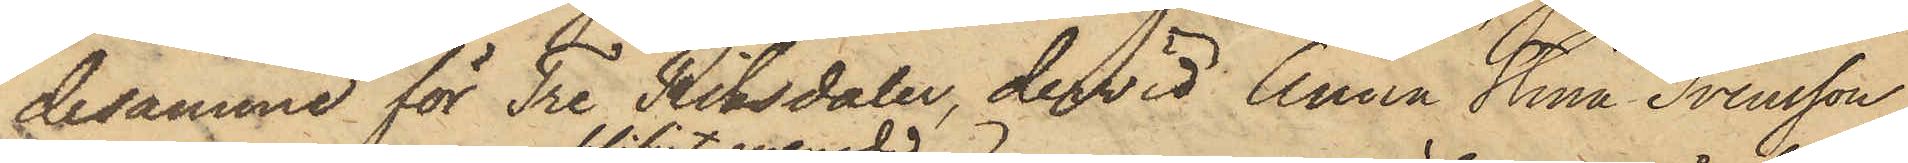desamme för Tre Riksdaler, dervid Anna Stina Svensson
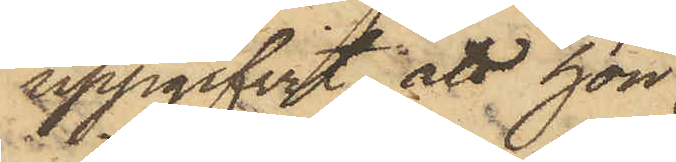uppgifvit, att hon
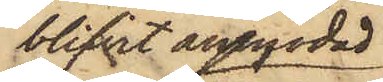blifvit anmodad
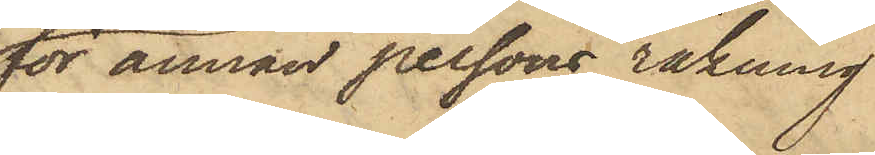för annan persons räkning
